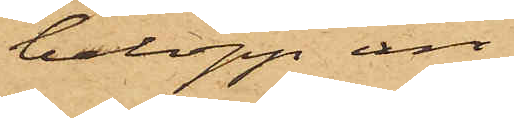belopp än
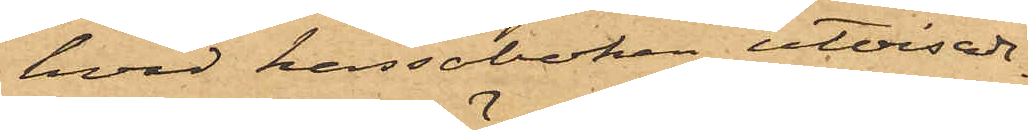hvad kassaboken utvisade.
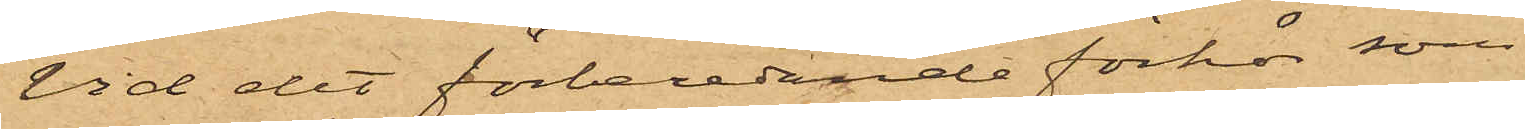Vid det förberedande förhör som
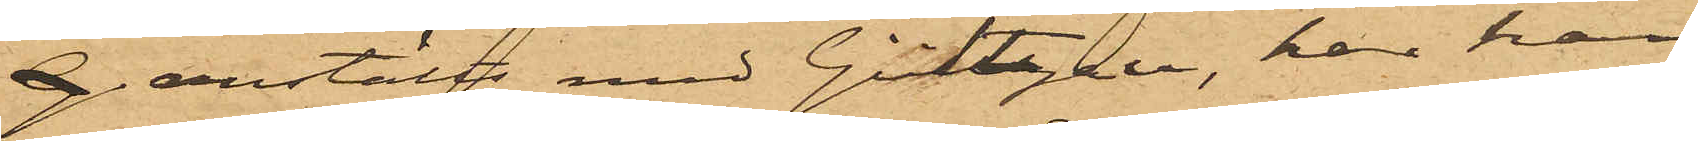anstäldts med Gültzau, har han
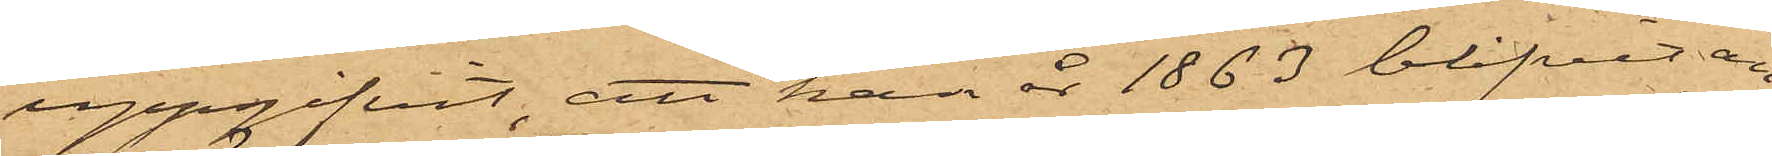uppgifvit, att han år 1863 blifvit an¬
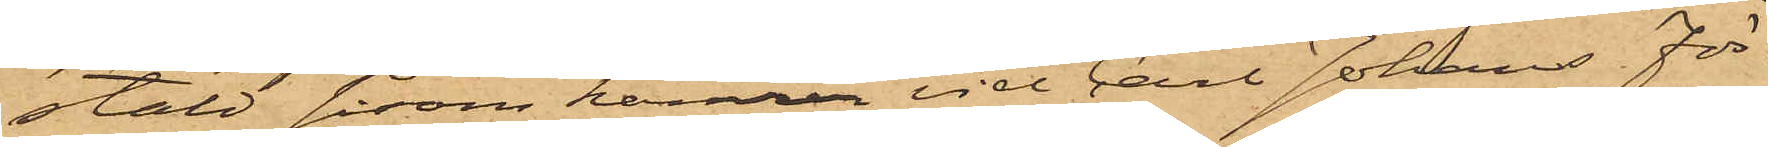stäld såsom kamrer vid Carl Johans För¬
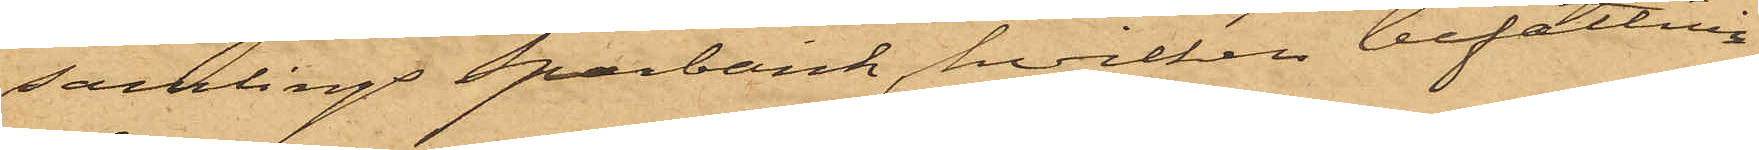samlings Sparbank, hvilken befattning
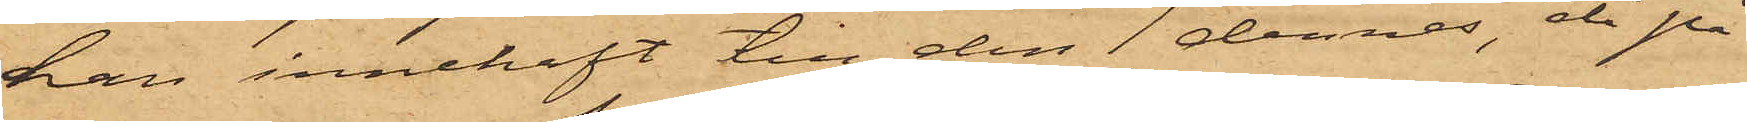han innehaft till den 1 dennes, då på
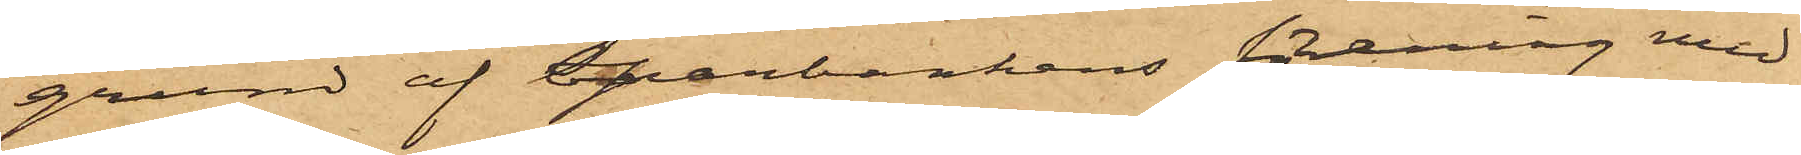grund af Sparbankens förening med
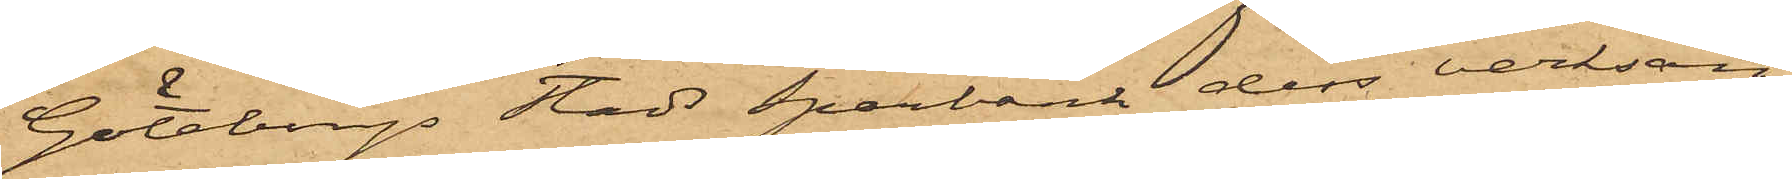Göteborgs Stads Sparbank dess verksam¬
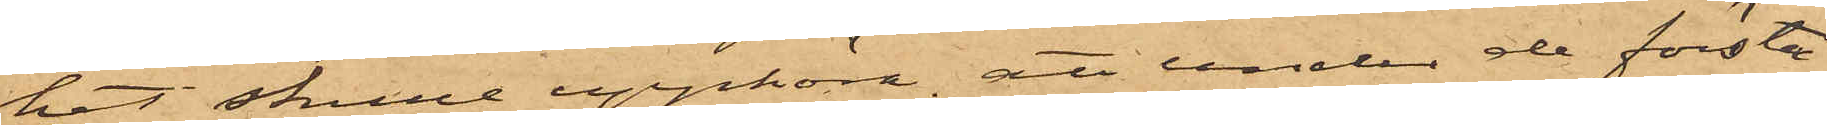het skulle upphöra; att under de första
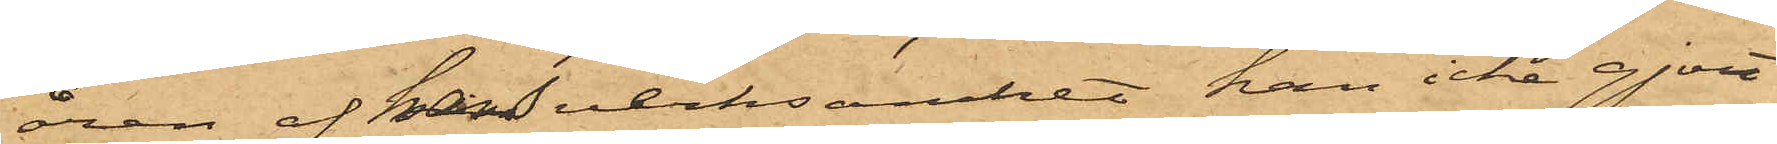åren af hans verksamhet han icke gjort
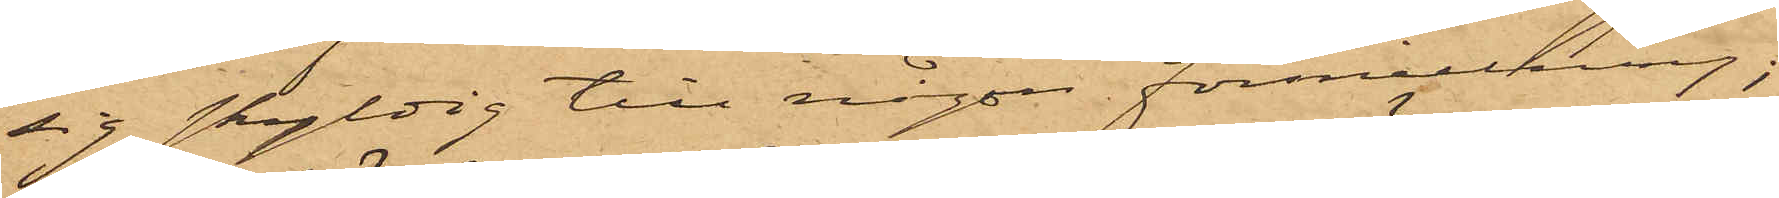sig skyldig till någon förskingring;
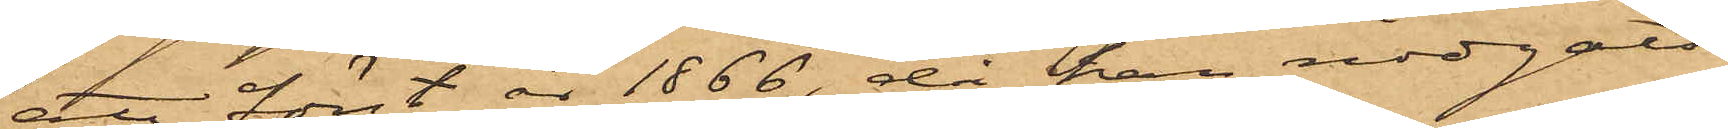att först år 1866, då han nödgats
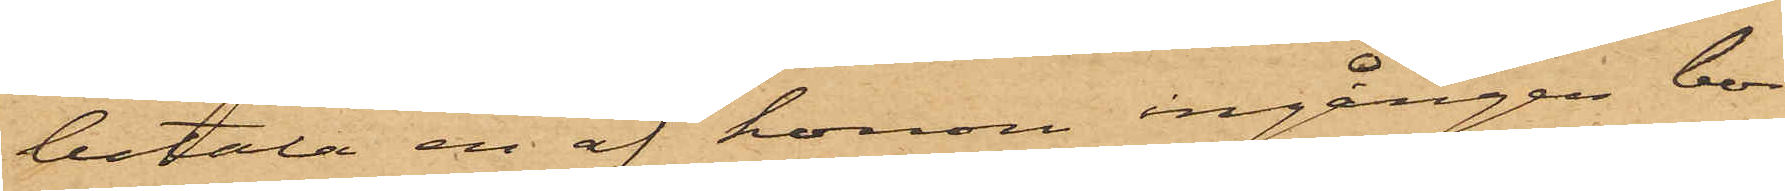betala en af honom ingången bor¬
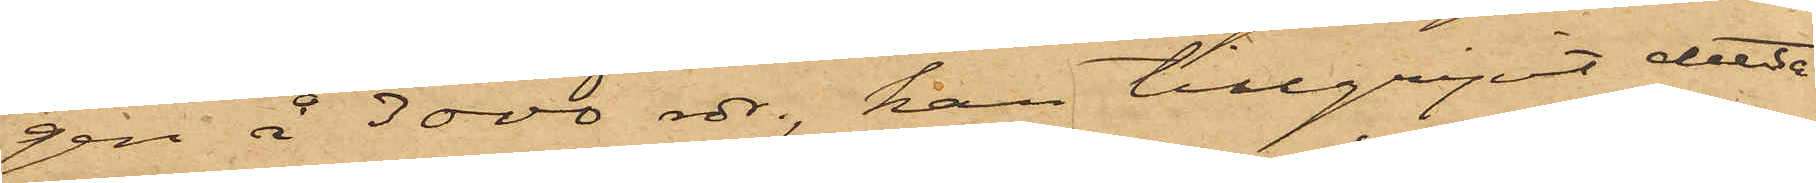gen å 3000 rdr, han tillgripit detta
